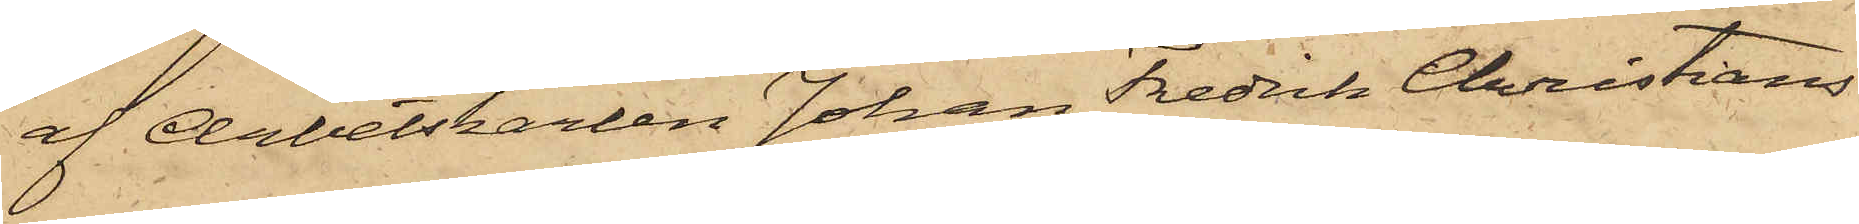af Arbetskarlen Johan Fredrik Christians¬
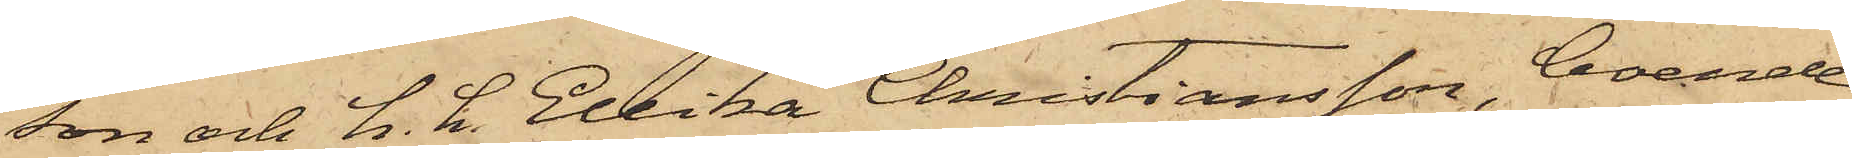son och h. h. Ellika Christiansson, boende
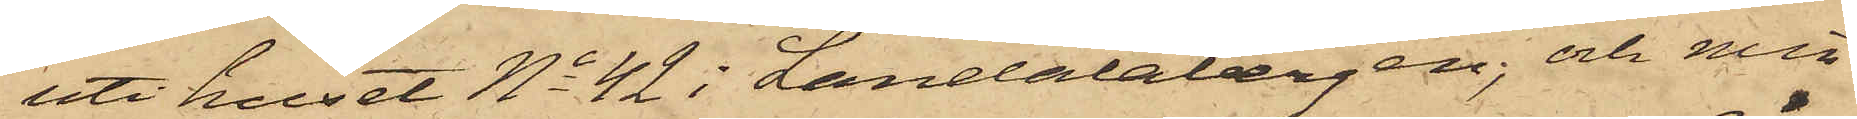uti huset No 42 i Landalabergen; och min¬
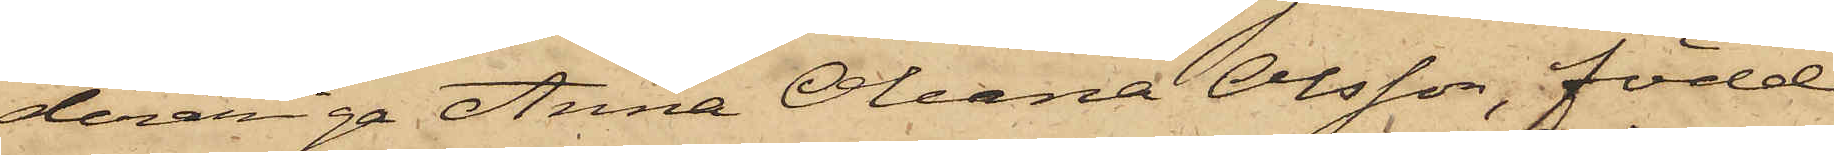deråriga Anna Oleana Olsson, född
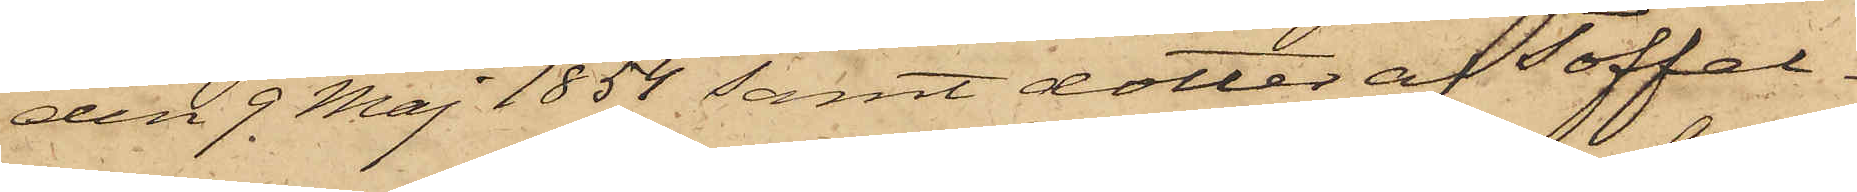den 9 Maj 1854 samt dotter af Toffel¬
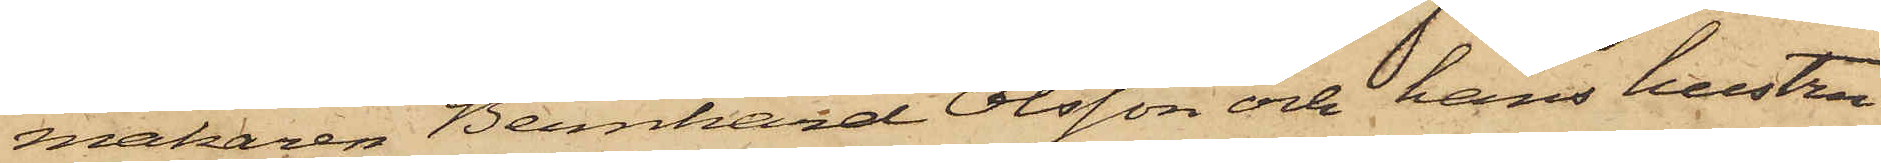makaren Bernhard Olsson och hans hustru
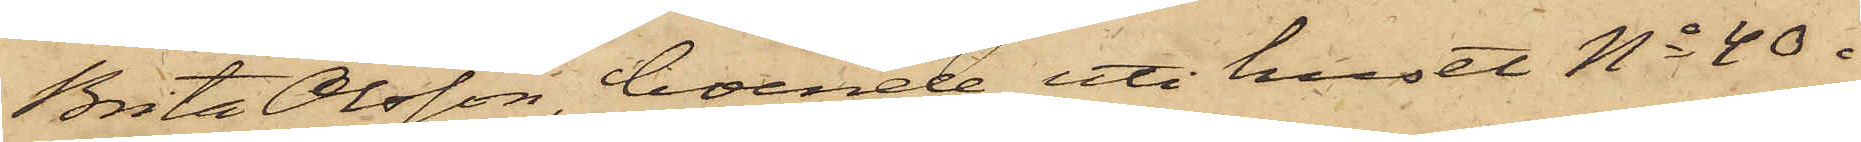Brita Olsson, boende uti huset No 40 i
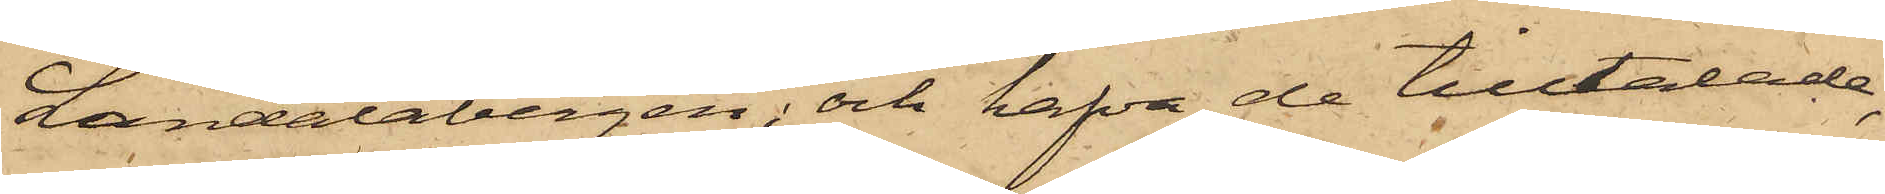Landalabergen; och hafva de tilltalade,
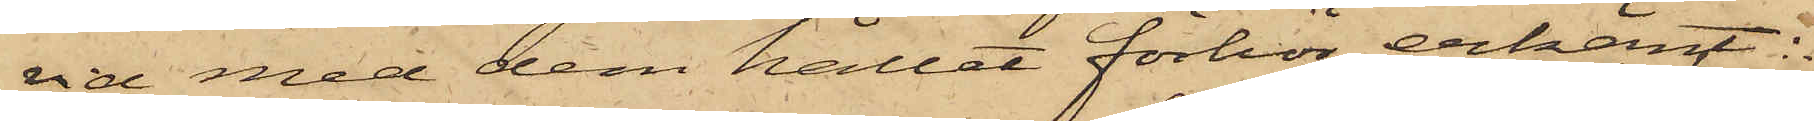vid med dem hållet förhör erkänt:
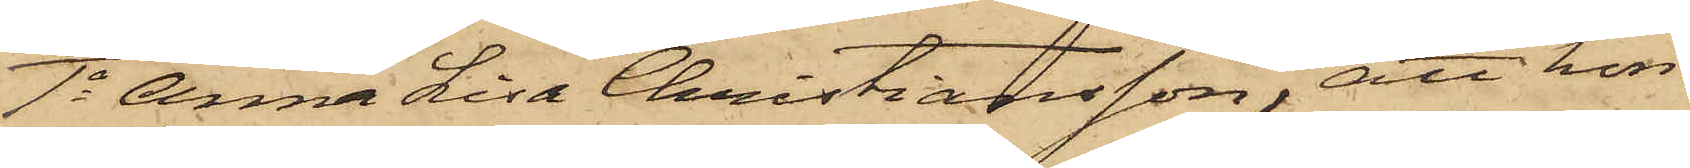1o Anna Lisa Christiansson, att hon
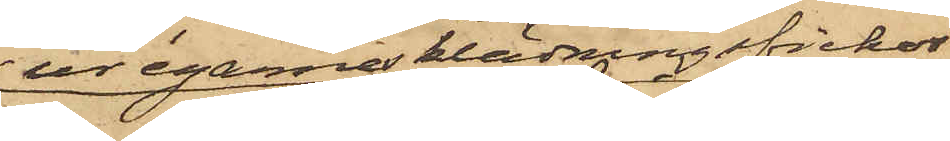ur egarnes klädningsfickor
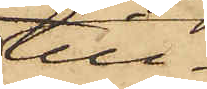till¬
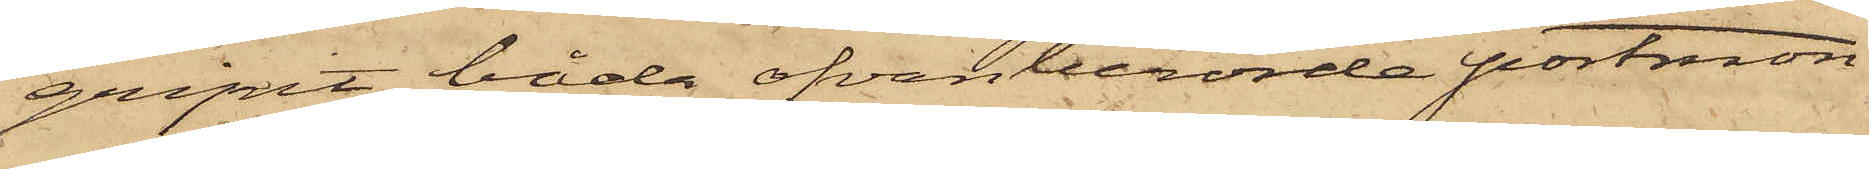gripit båda ofvanberörde portmon¬
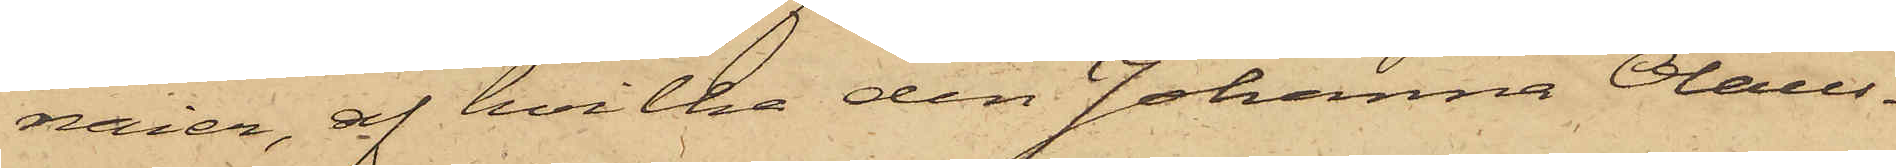naier, af hvilka den Johanna Olaus¬
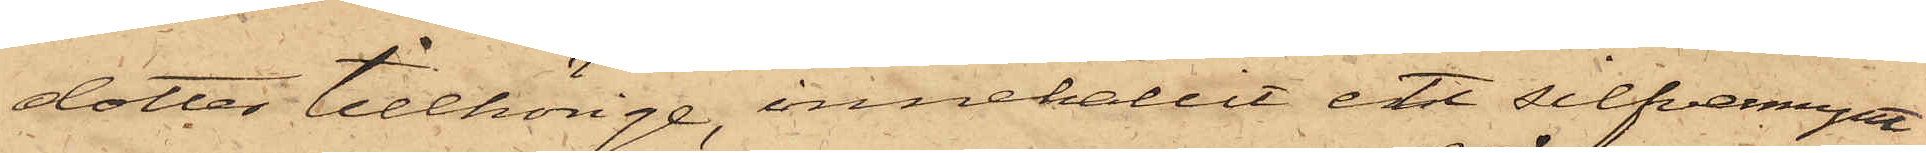dotter tillhörige, innehållit ett silfvermynt
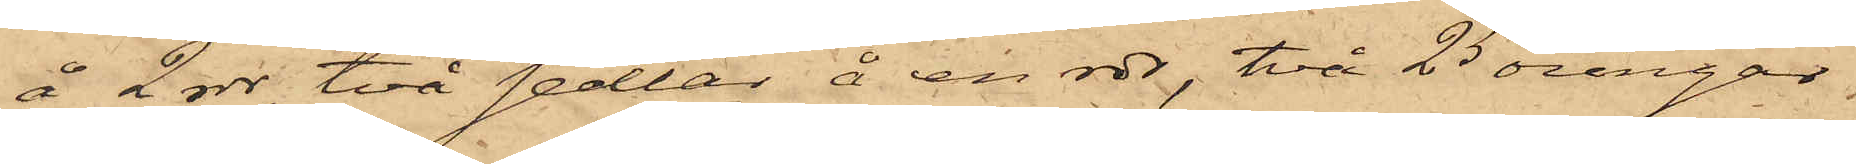å 2 rdr, två sedlar å en rdr, två 25 öringar,
